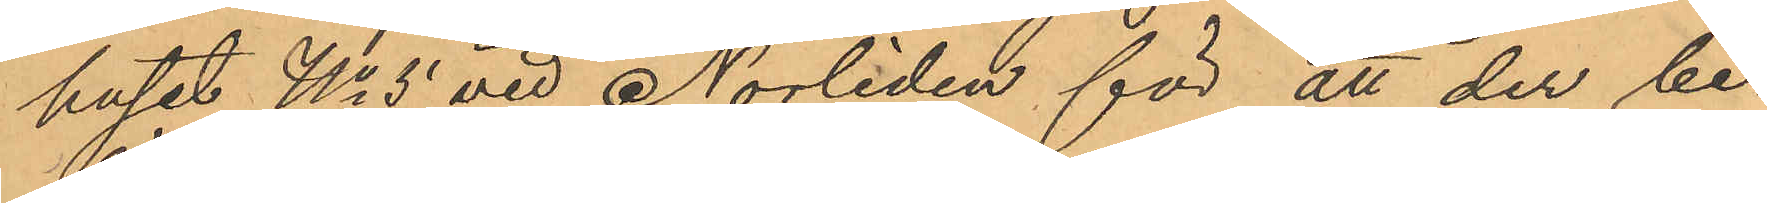huset No 5 vid Norliden för att der be¬
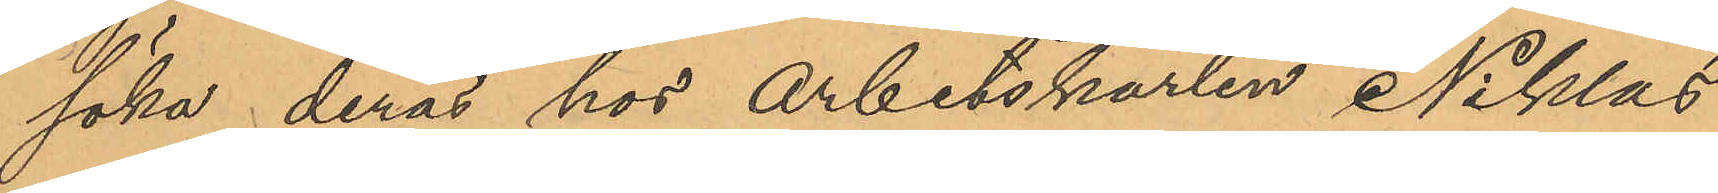söka deras hos arbetskarlen Niklas
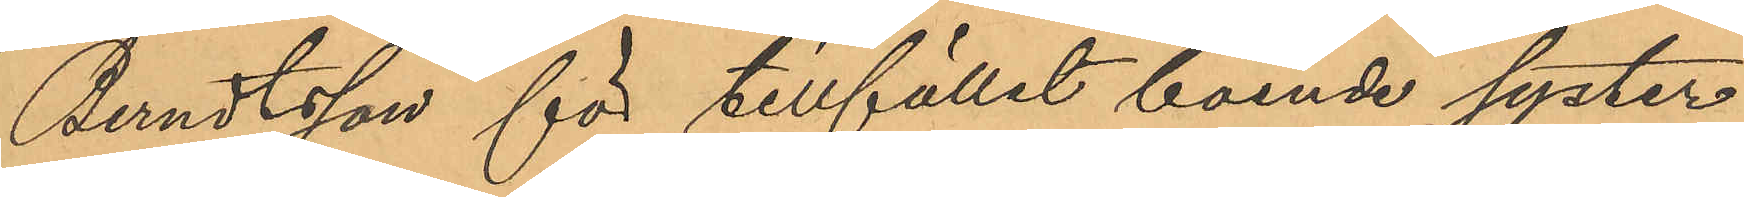Berndtsson för tillfället boende syster
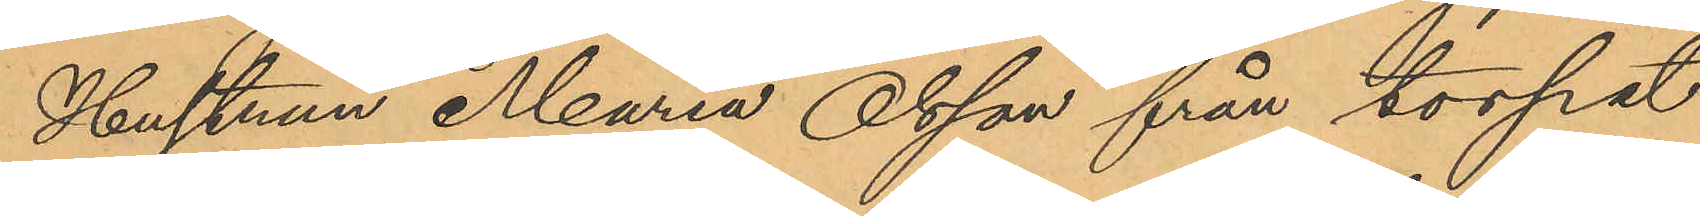Hustrun Maria Olsson från torpet
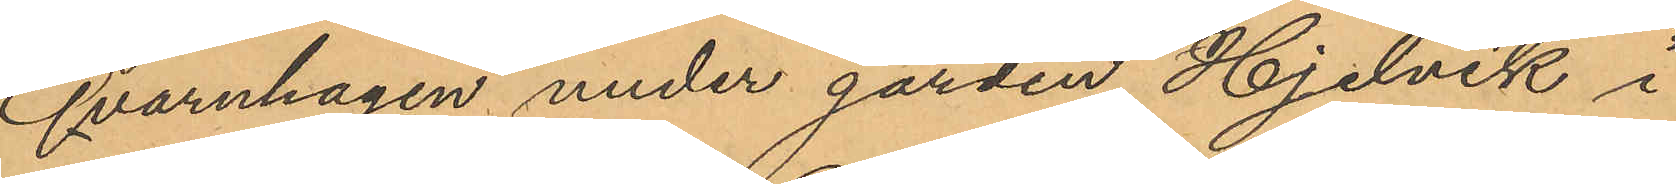Qvarnhagen under gården Hjelvik i
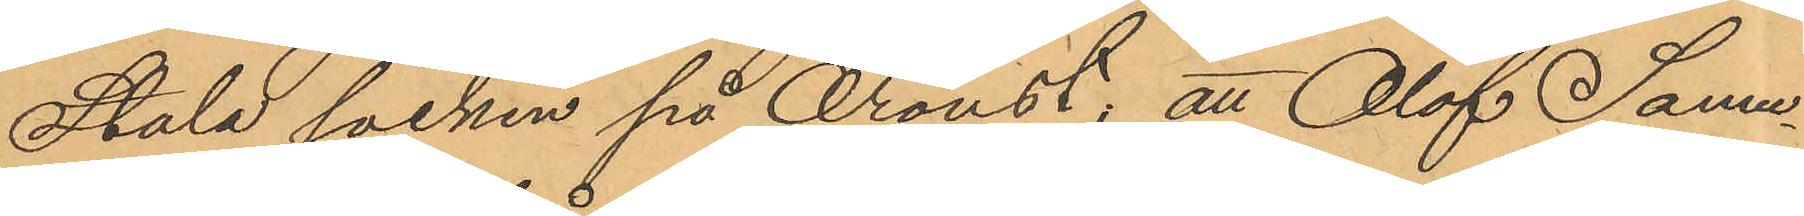Stala socken på Oroust; att Olof Samu¬
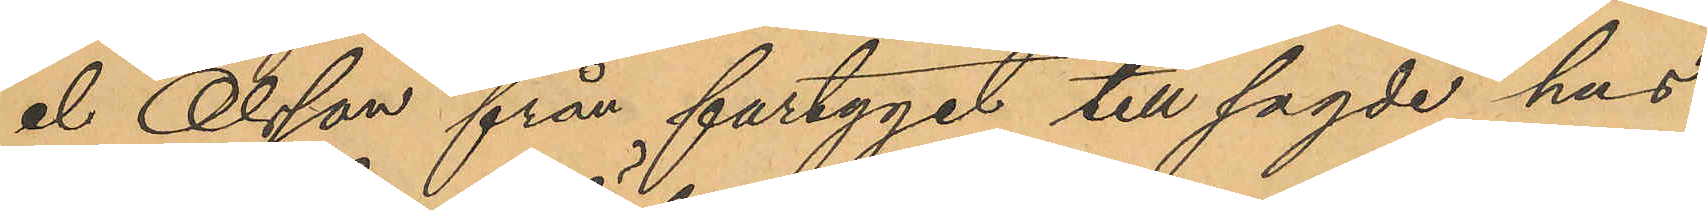el Olsson från fartyget till sagde hus
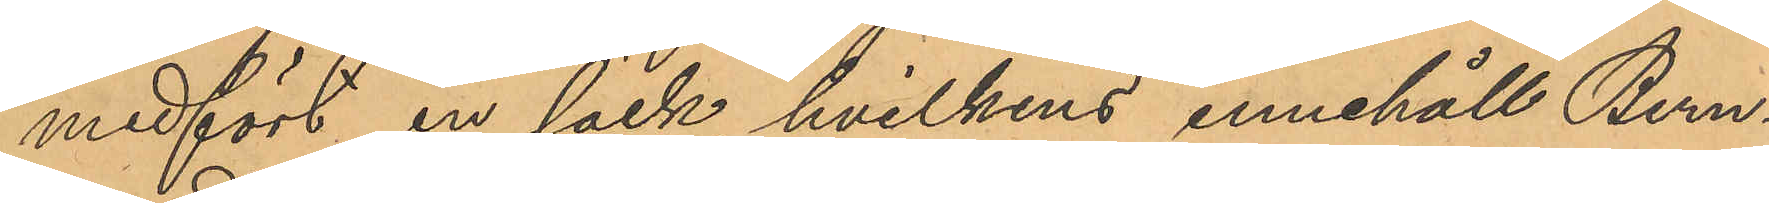medfört en säck, hvilkens innehåll Bern¬
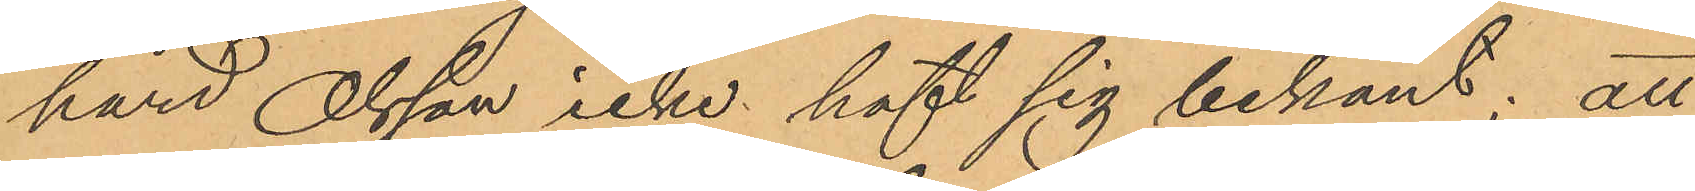hard Olsson icke haft sig bekant; att
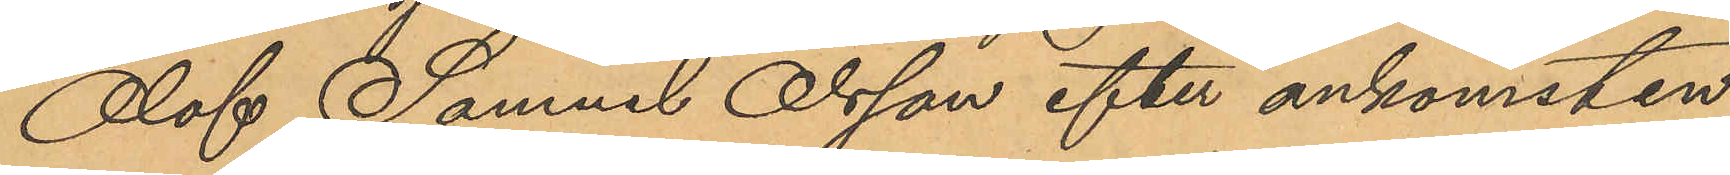Olof Samuel Olsson efter ankomsten
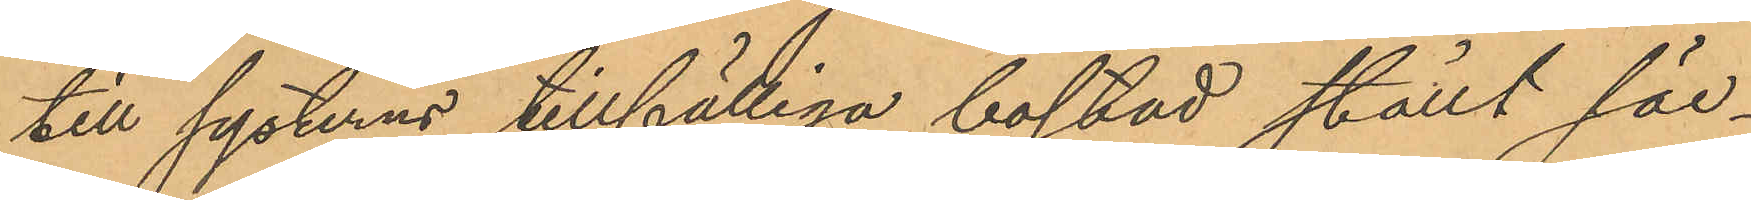till systerns tillfälliga bostad ställt säc¬
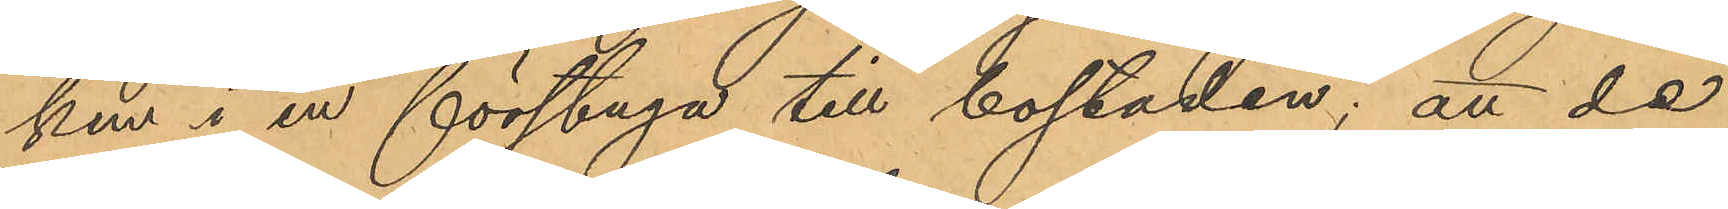ken i en förstuga till bostaden; att de
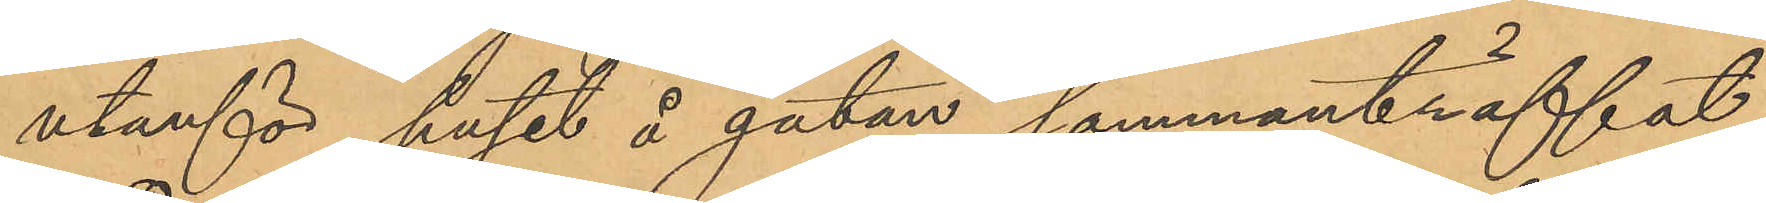utanför huset å gatan sammanträffat
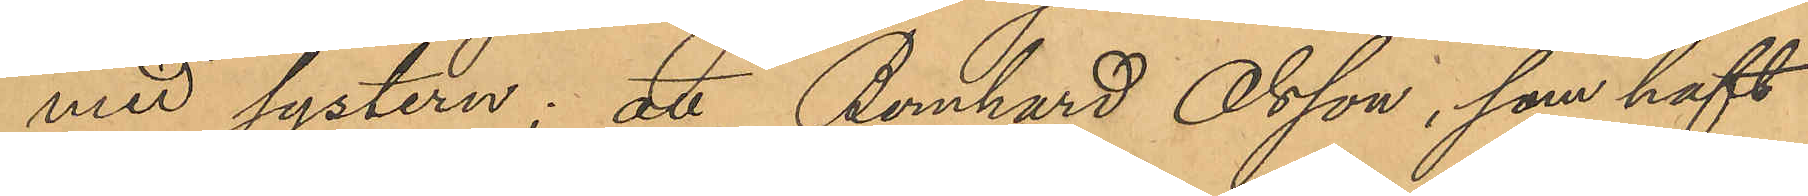med systern; att Bernhard Olsson, som haft
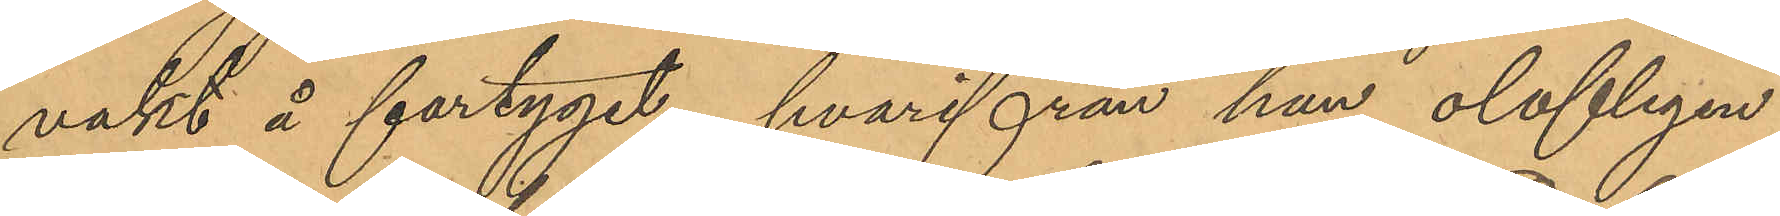vakt å fartyget, hvarifrån han olofligen
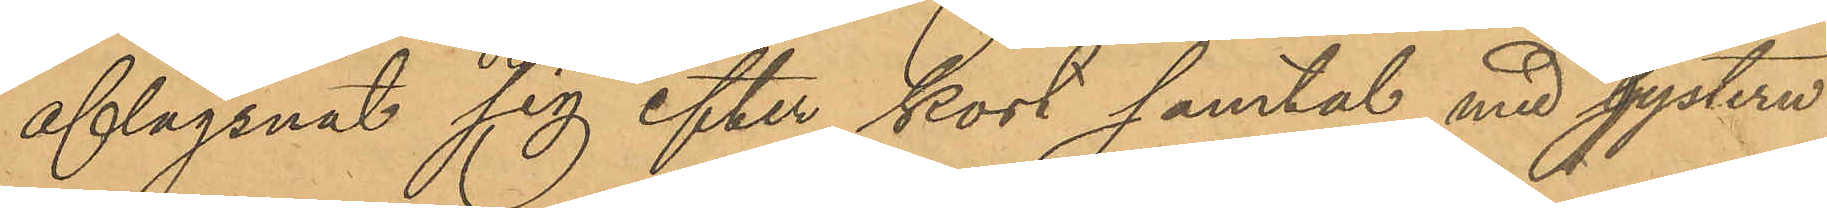aflägsnat sig efter kort samtal med systern
